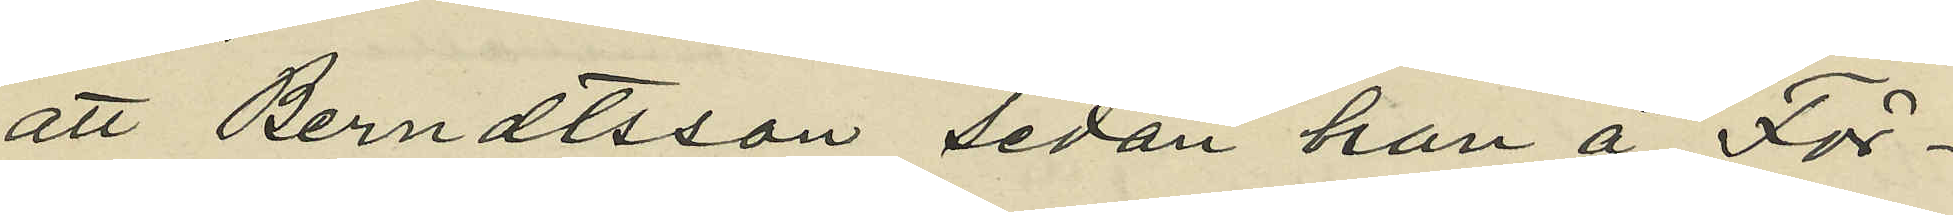att Berndtsson sedan han å För¬
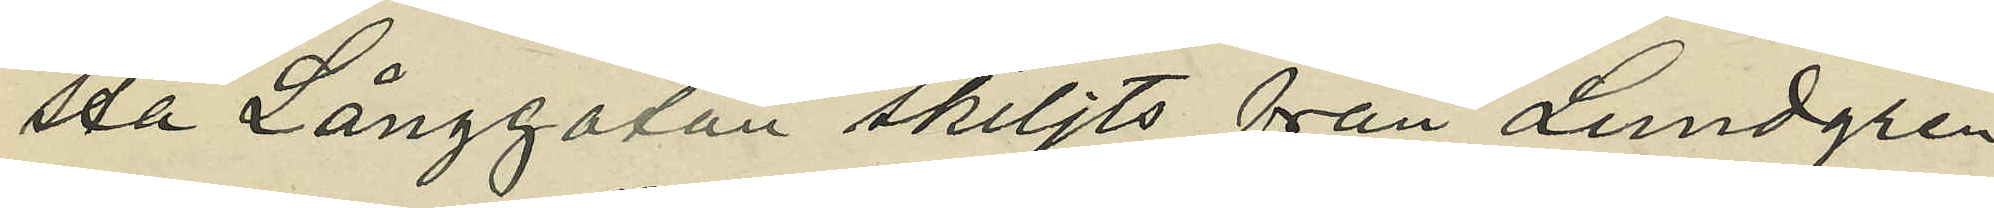sta Långgatan skiljts från Lundgren
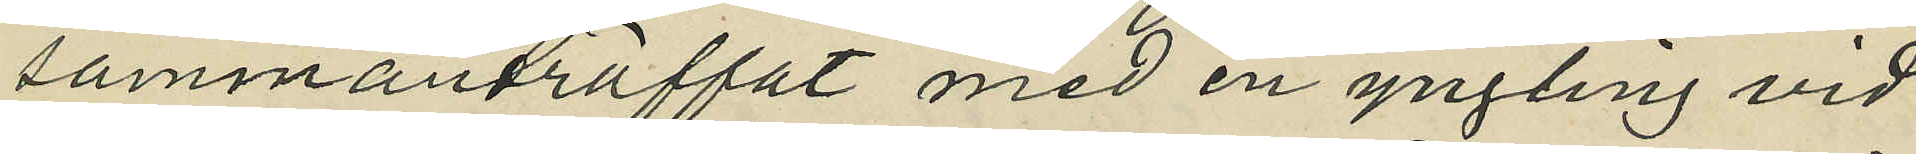sammanträffat med en yngling vid
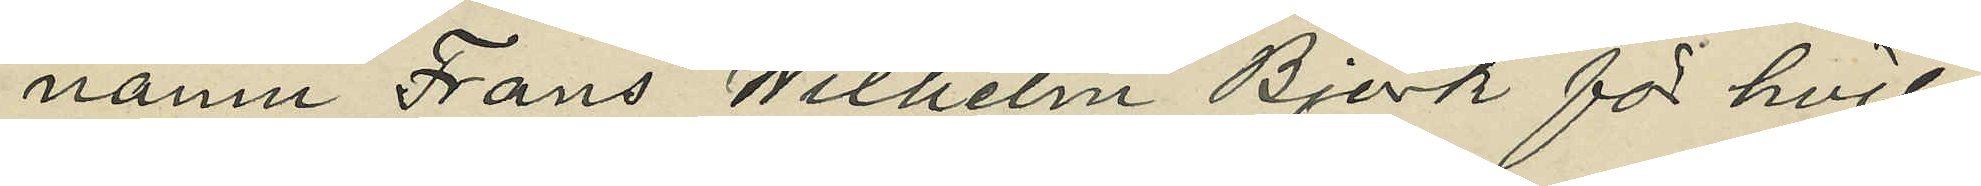namn Frans Wilhelm Björk för hvil¬
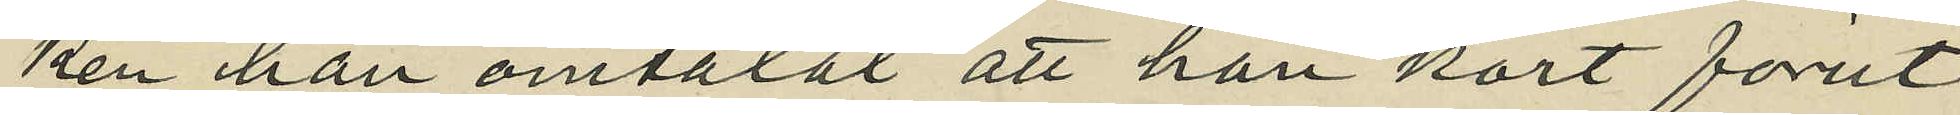ken han omtalat att han kort förut
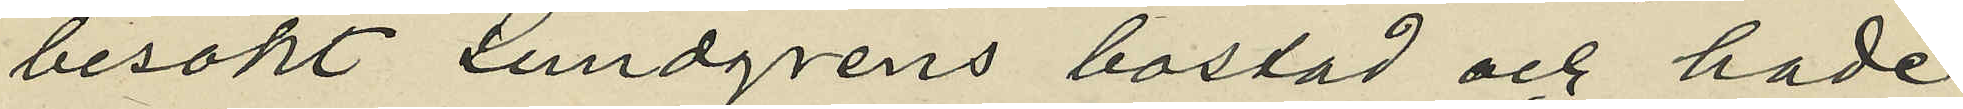besökt Lundgrens bostad och hade
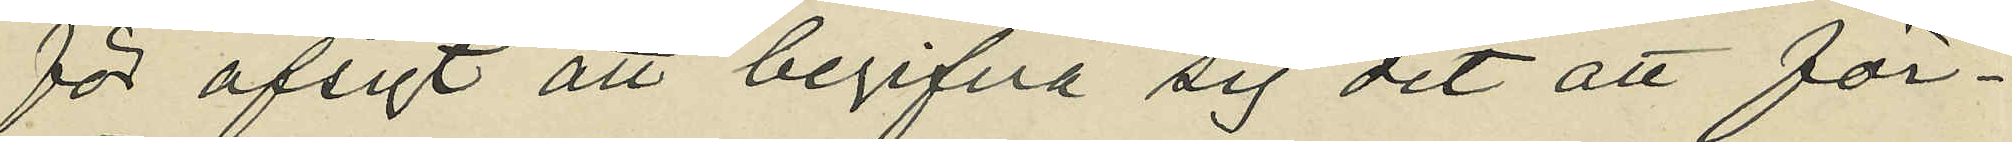för afsigt att begifva sig dit att för¬
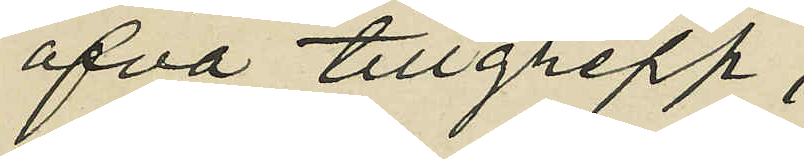öfva tillgrepp;
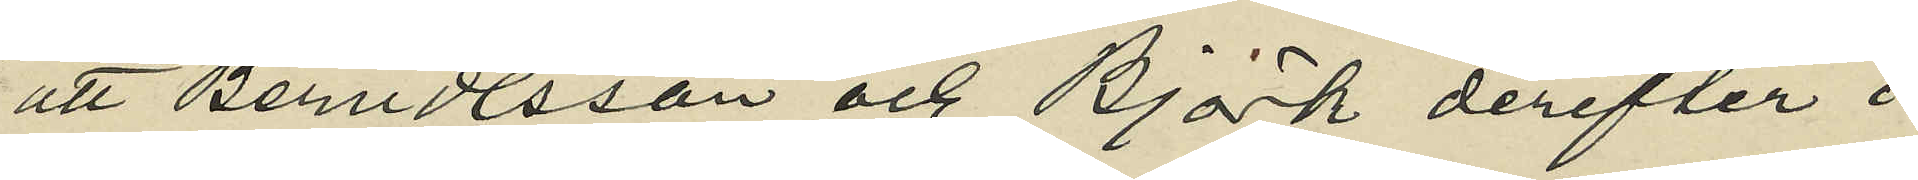att Berndtsson och Björk derefter i
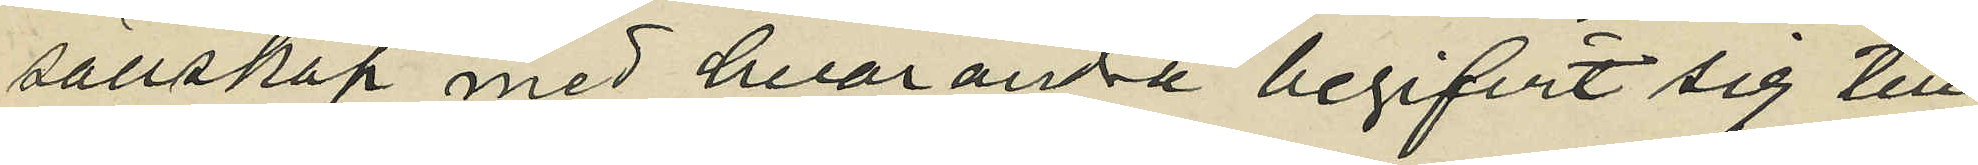sällskap med hvarandra begifvit sig till
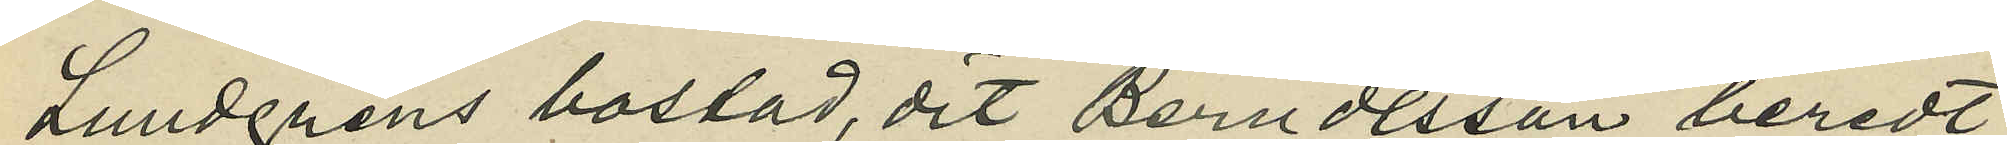Lundgrens bostad, dit Berndtsson beredt
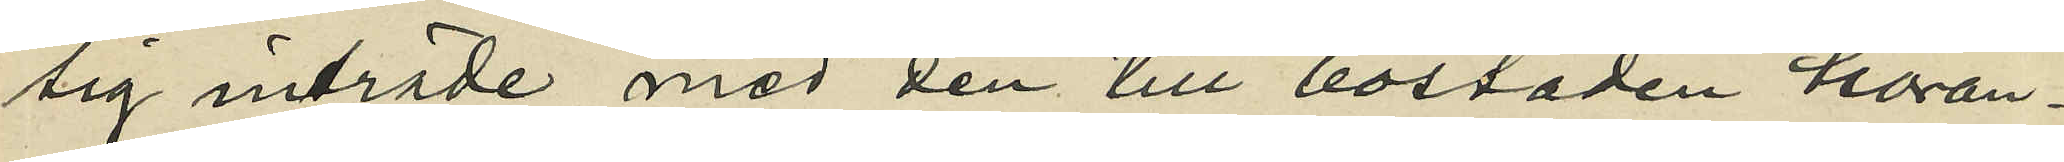sig inträde med den till bostaden höran¬
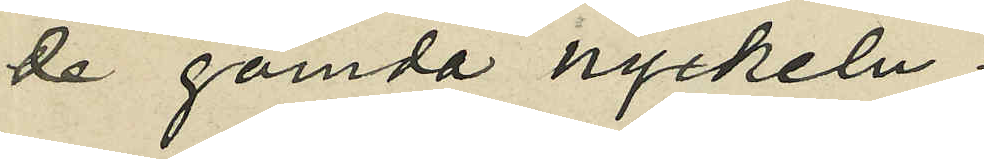de gömda nyckeln;
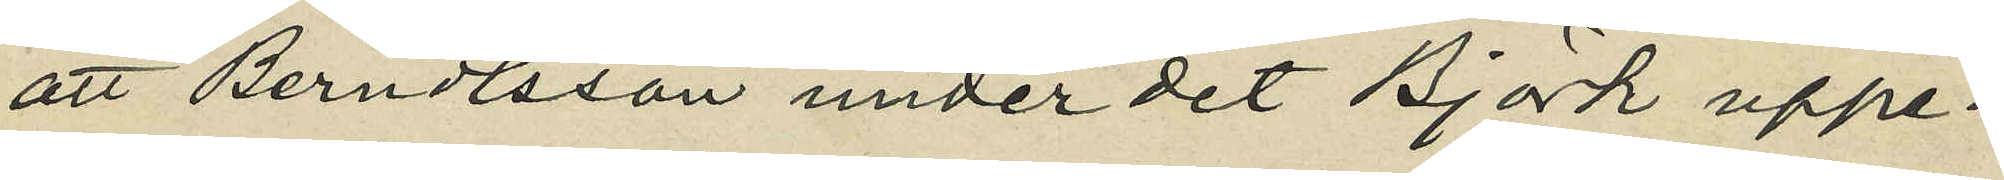att Berndtsson under det Björk uppe¬
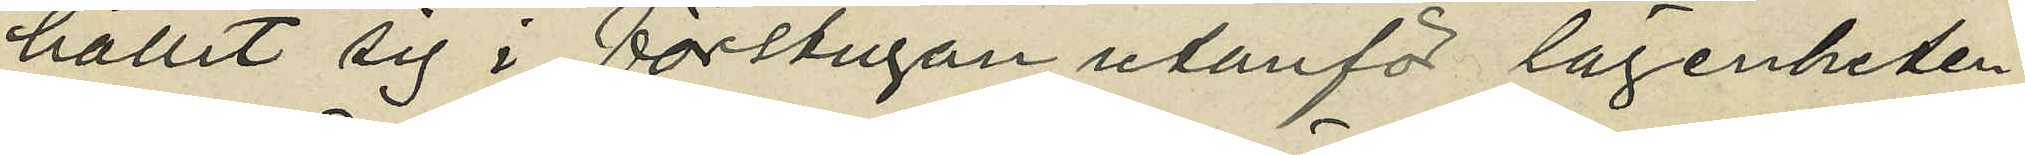hållit sig i förstugan utanför lägenheten,
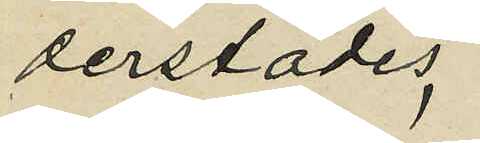derstädes
